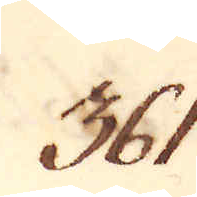361.
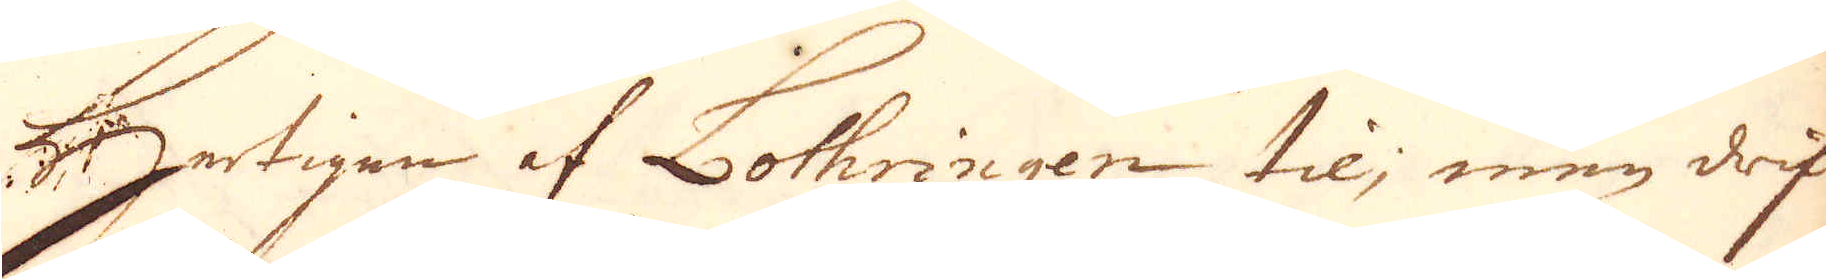Hertigen af Lothringen til; men drif-
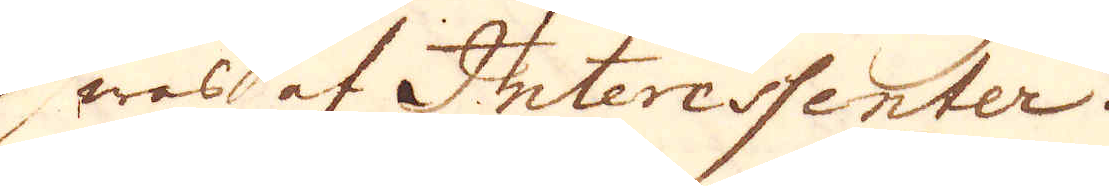was af Interessenter.
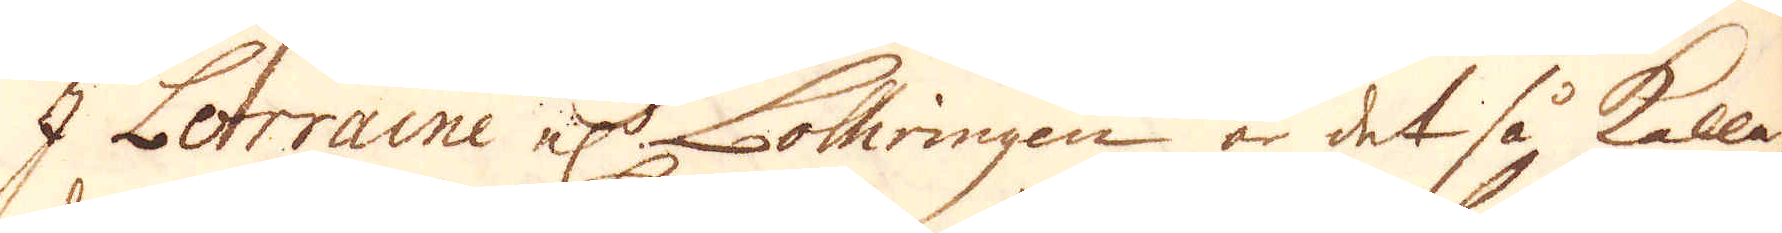I Lorraine el:r Lothringen är det så kalla-
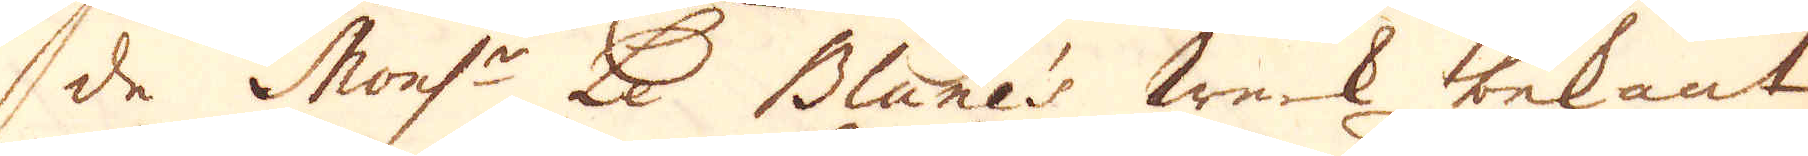de Mons:r Le Blane's werk bekant
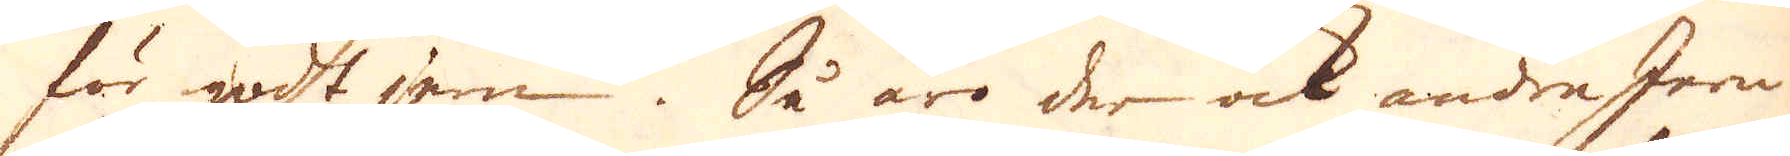för godt jem. Så äro der ock andra Jern
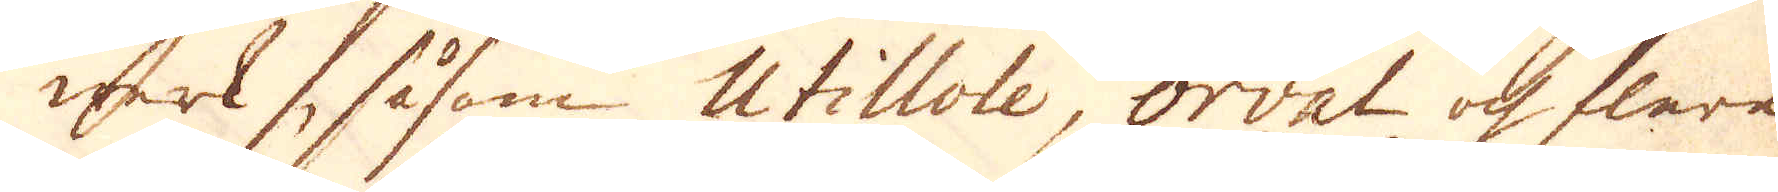werk, såsom Utillole, Orval och flera
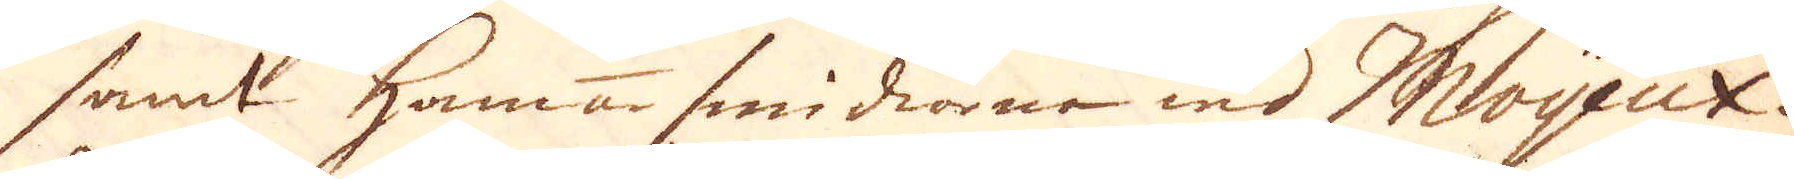samt hammarsmidiorne wid Moyeux.
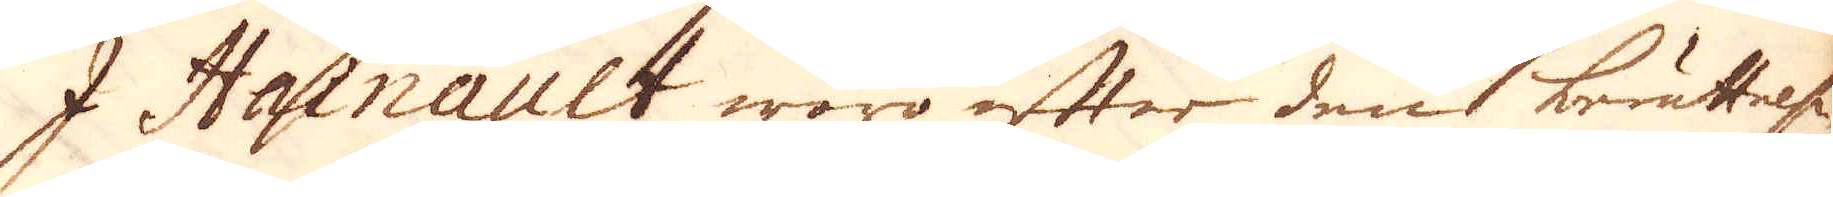I Hainault woro efter den berättelse
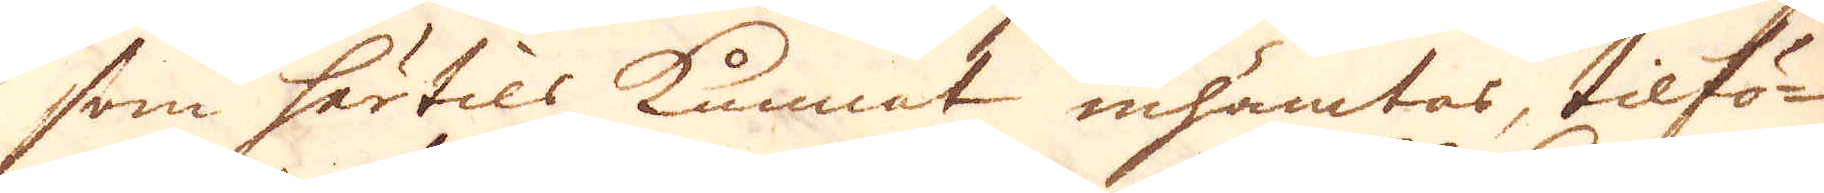som härtils kunnat inhämtas, tilfö-
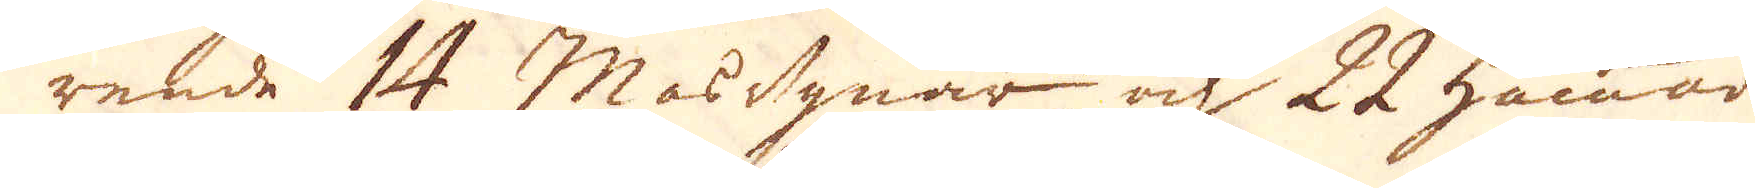rende 14 Masugnar och 22 hammar-
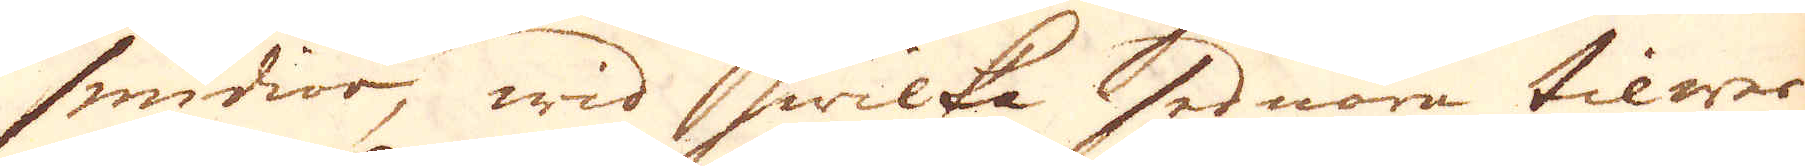smidior, wid hwilka sednara tilwer-
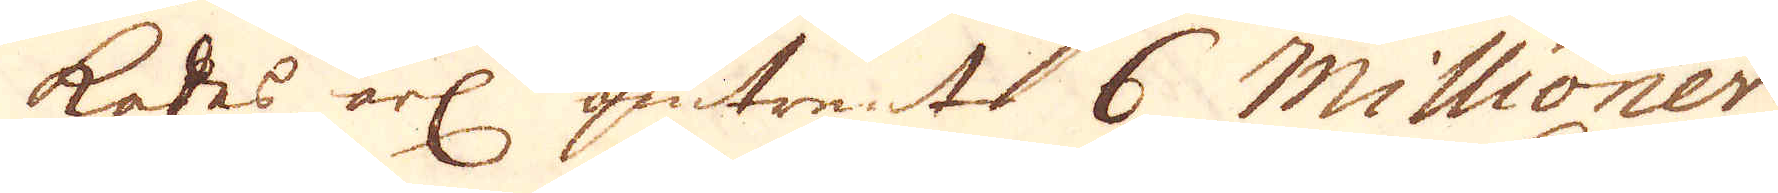kades årl omtrent 6 Millioner
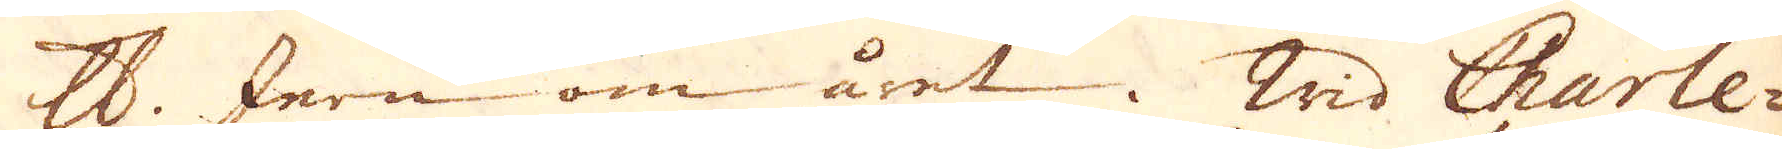skålpund Jern om året. Wid Charle-
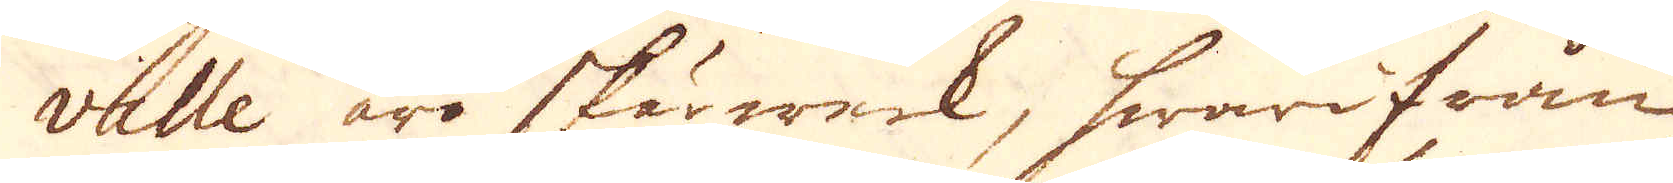ville äro skärwerk, hwarifrån
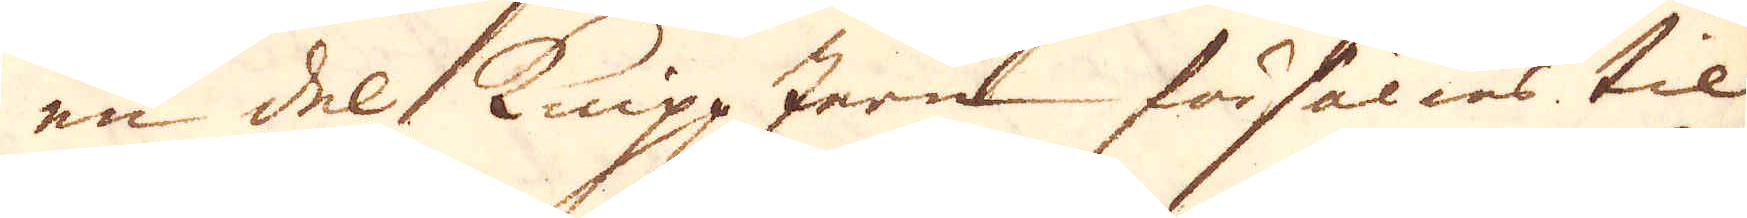en del knipp Jern försälias til
